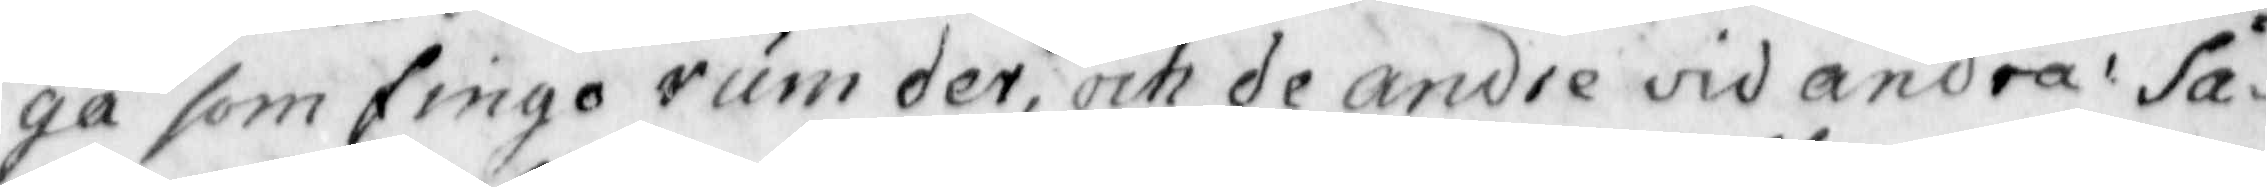ga som fingo rum der, och de andre vid andra, Sa¬
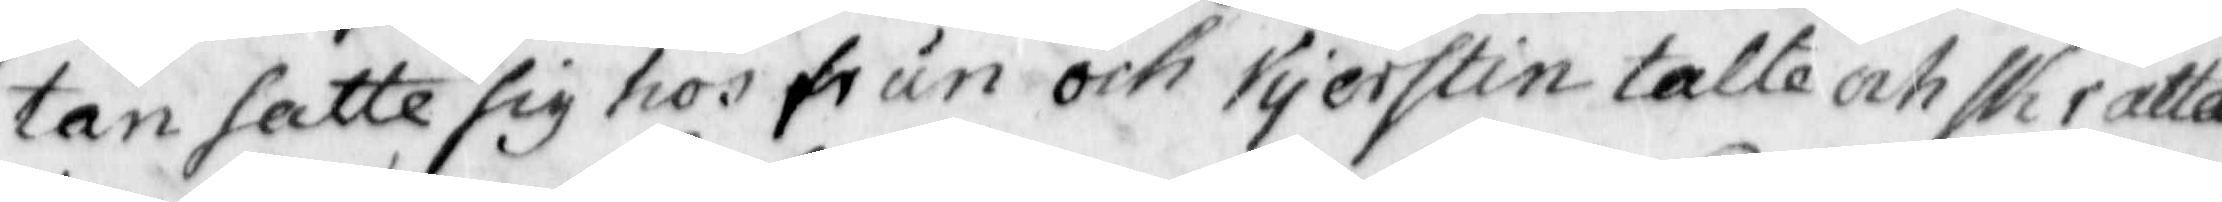tan satte sig hos frun och Kjerstin talte och skratta¬
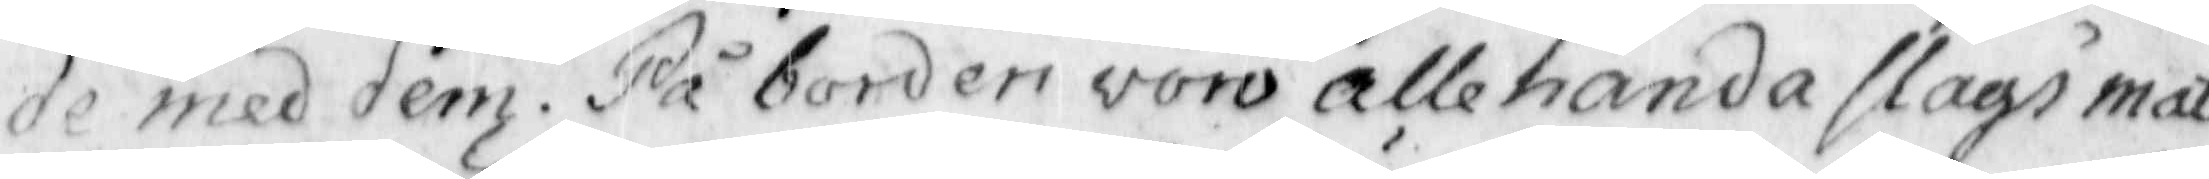de med dem. På borden voror allehanda slags mat,
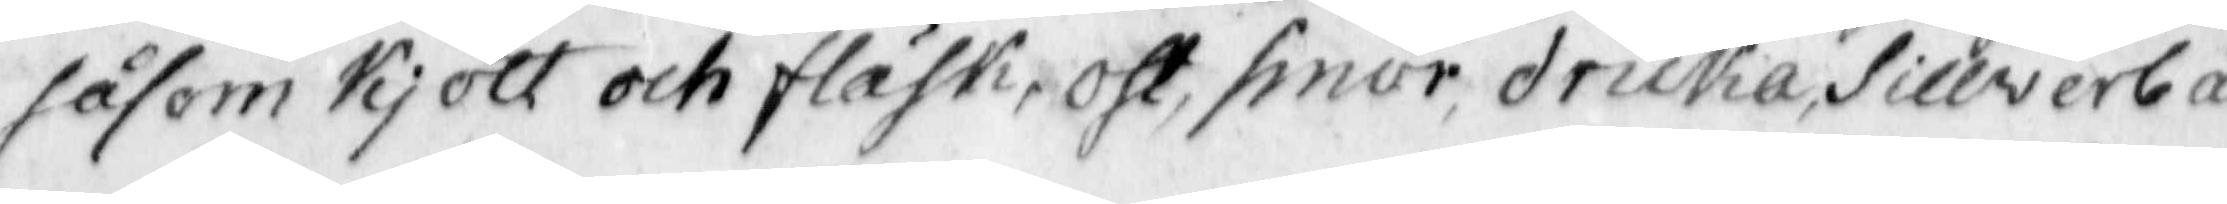såsom Kjött och fläsk, ost, smör, dricka, sillwerbä¬
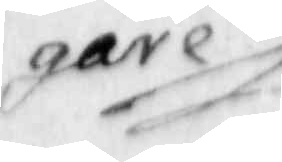gare
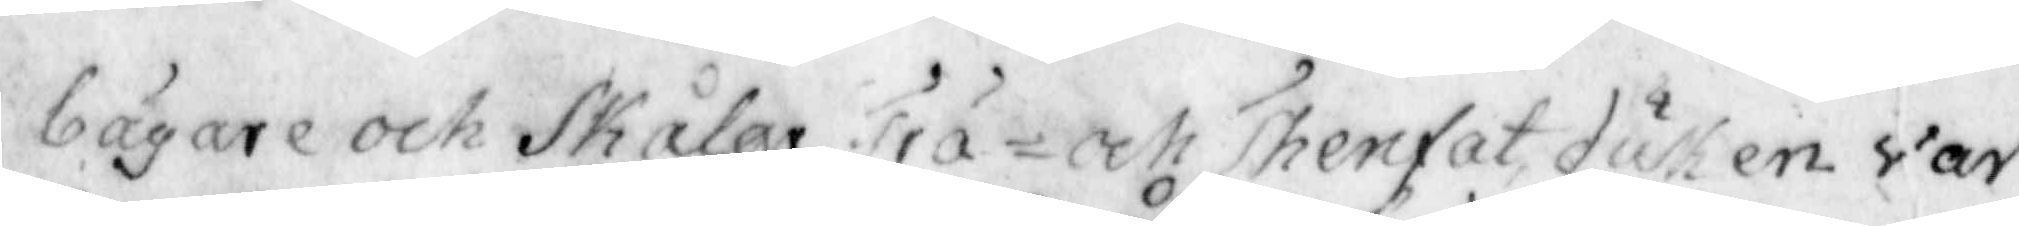bägare och Skålar, Trä- och Thenfat duken war
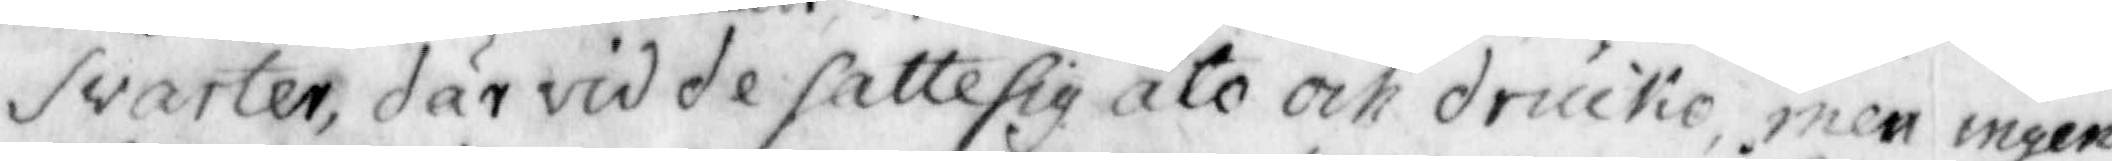Svarter, där vid de satte sig åto och drucko, men ingen
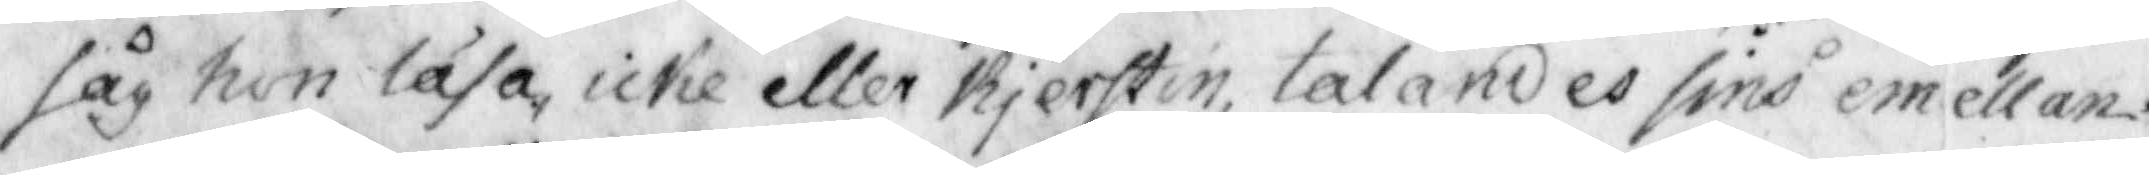såg hon läsa icke eller Kjerstin, talandes sins emellan
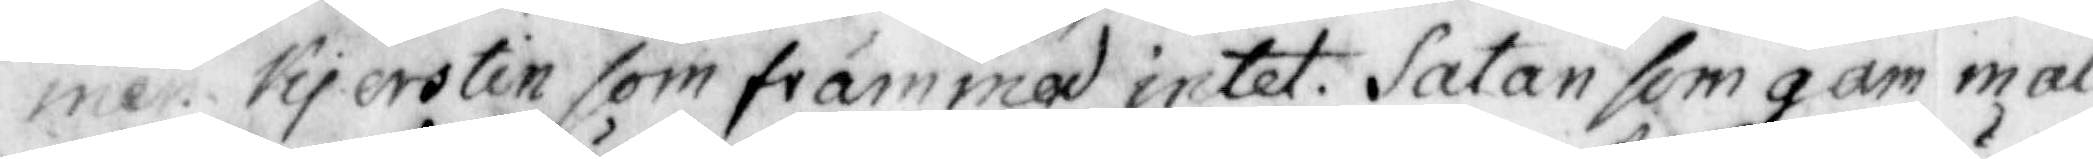men Kjerstin som främmad intet. Satan som gam mal
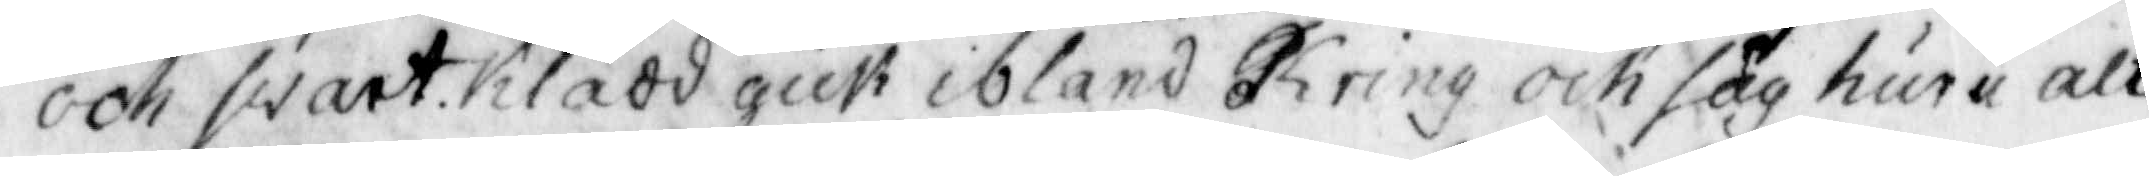ooh swart Klädd gick ibland Kring och såg huru alt
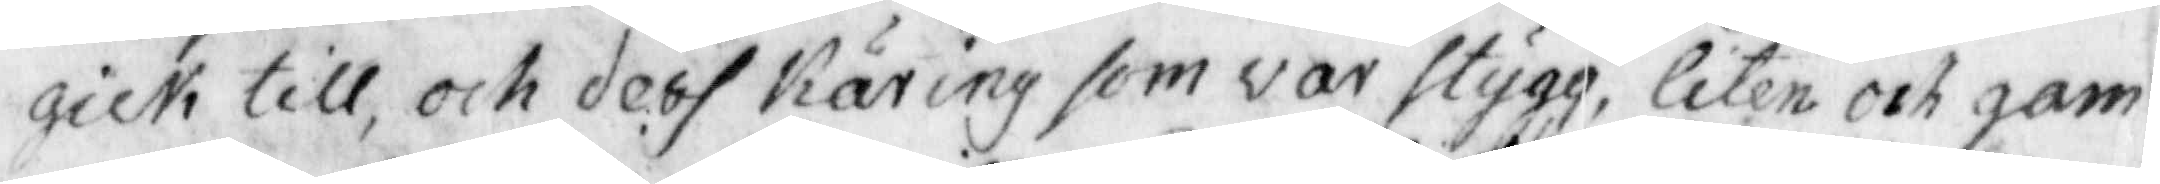gick till, och dess Käring som var stygg, liten och gam¬
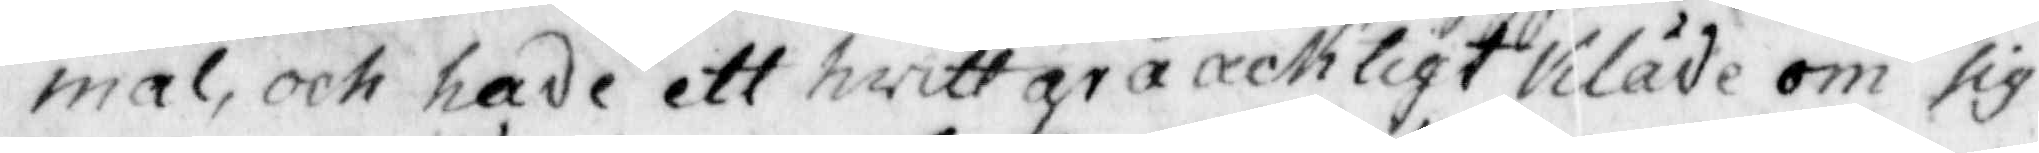mal, och hade ett hwitt gråachtigt Kläde om sig
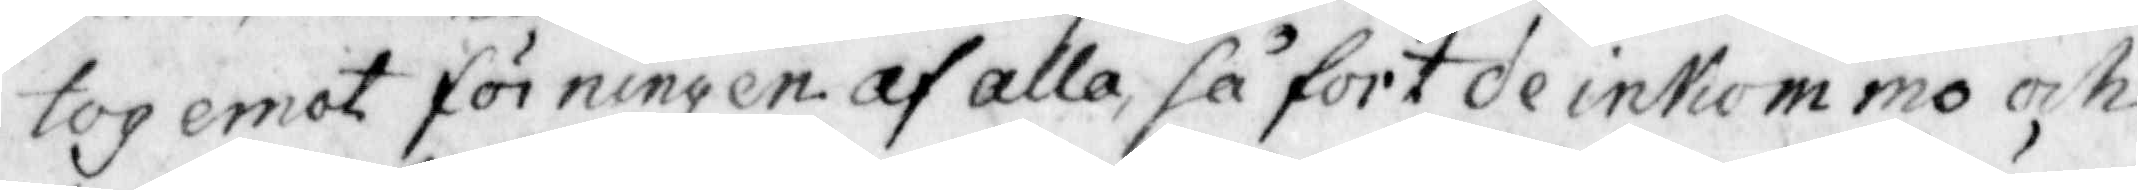tog emot förningen af alla så fort de inkommo och
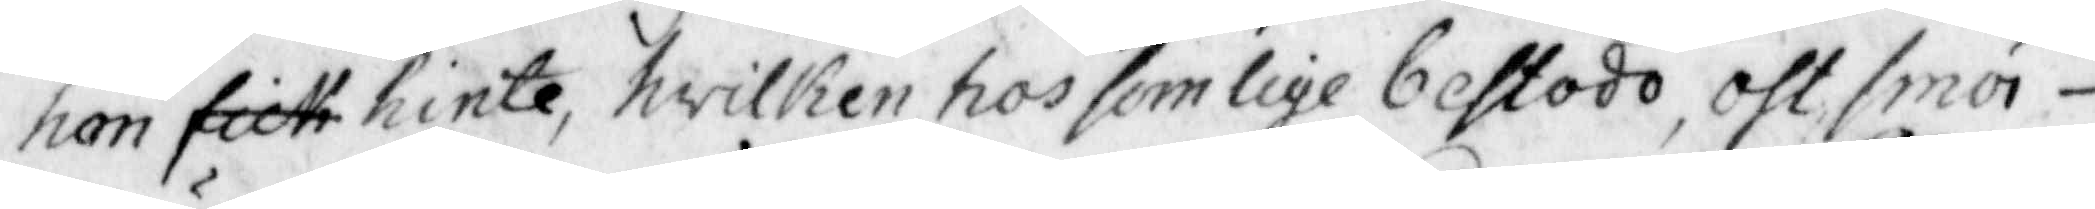hion fick hinte, hwilken hos somlige bestodo, oht smör
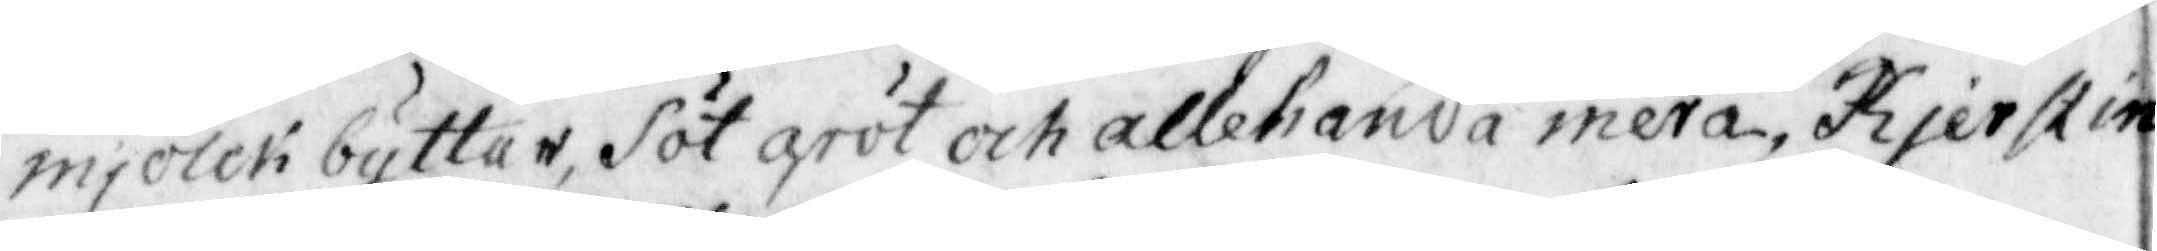mjölck byttar, Söt gröt och allehanda mera, Kjerstin
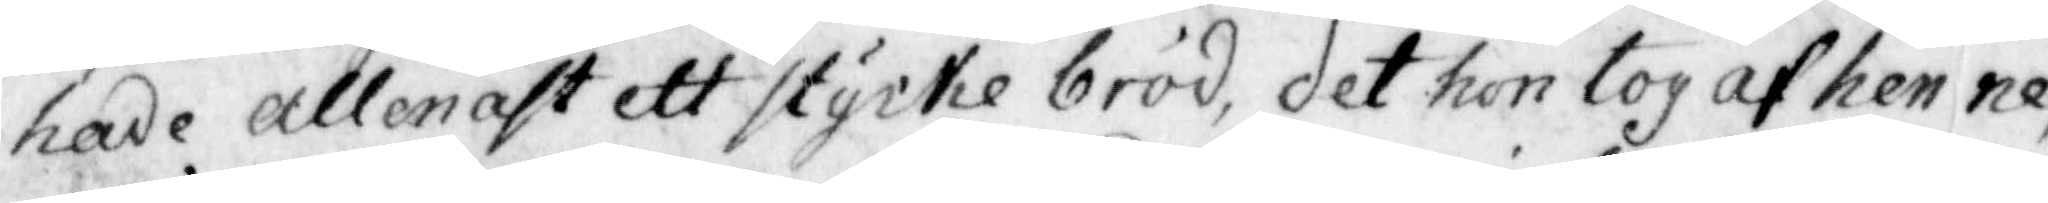hade allenast ett stycke bröd, det hon tog af henne
